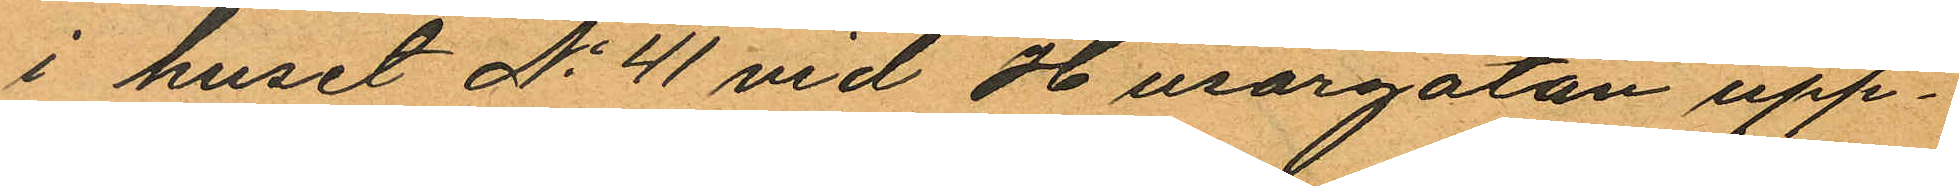i huset No 41 vid Husargatan upp¬
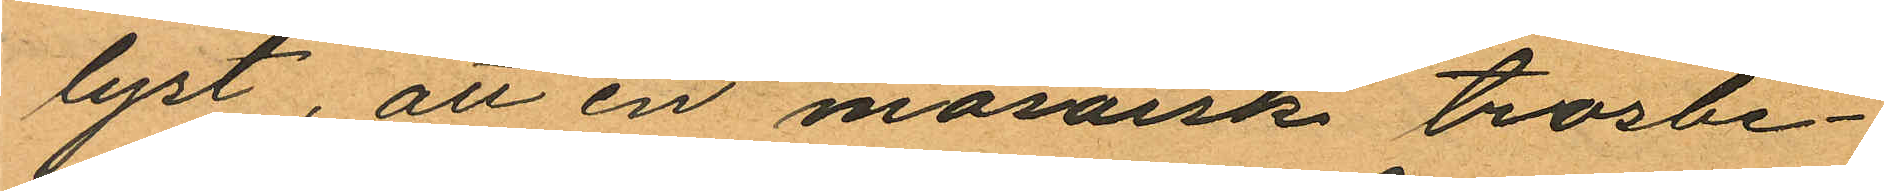lyst, att en mosaisk trosbe¬
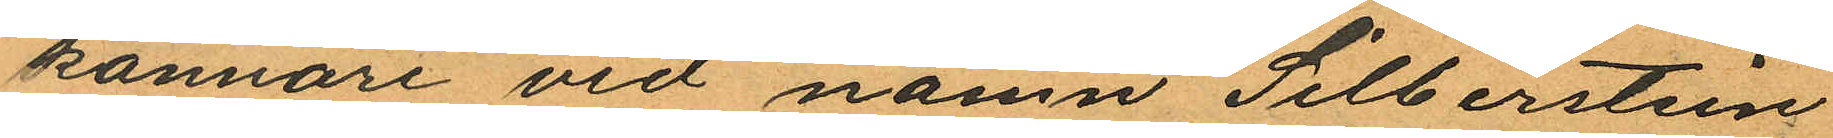kännare vid namn Silberstein
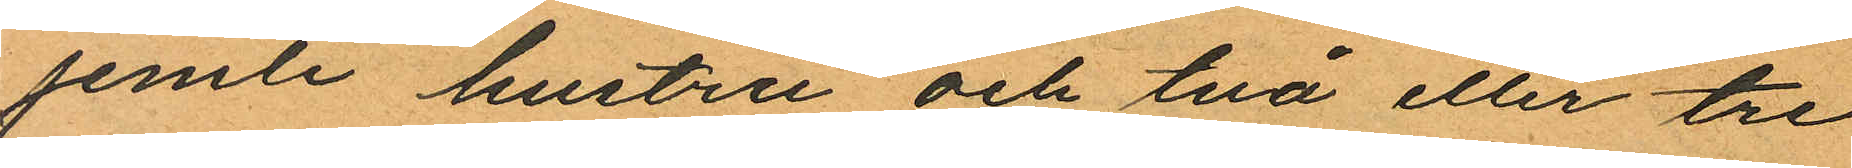jemte hustru och två eller tre
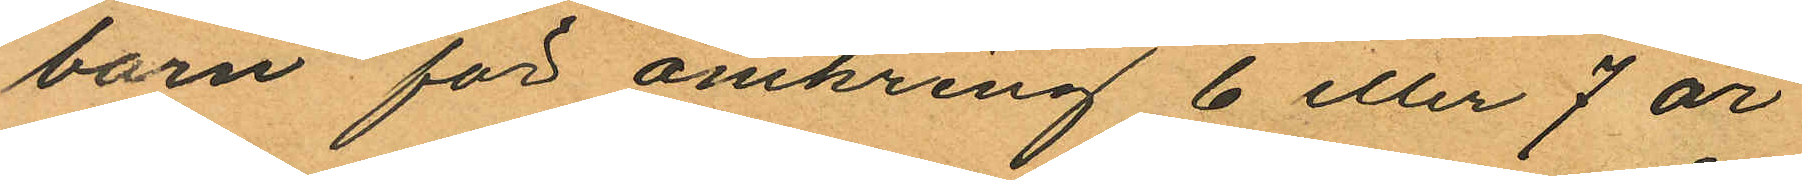barn för omkring 6 eller 7 år
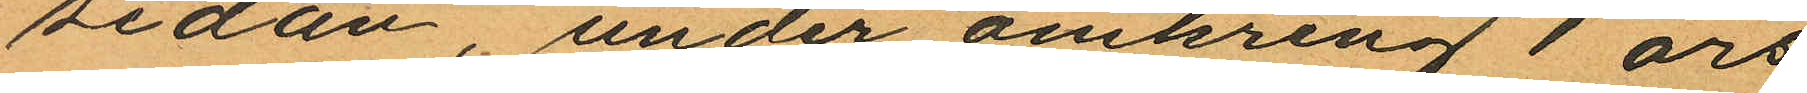sedan, under omkring 1 års
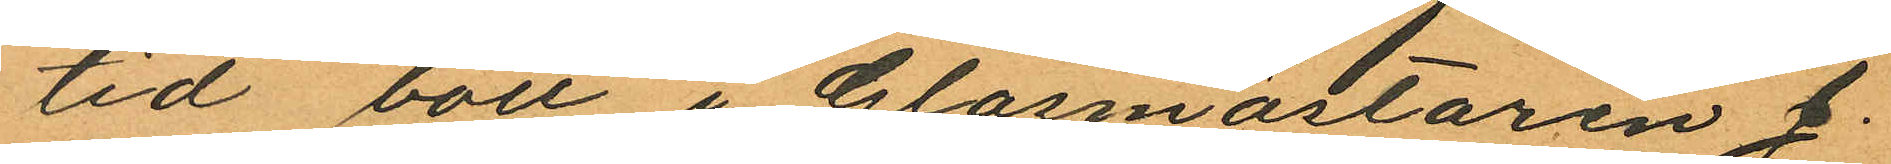tid bott i Glasmästaren J.
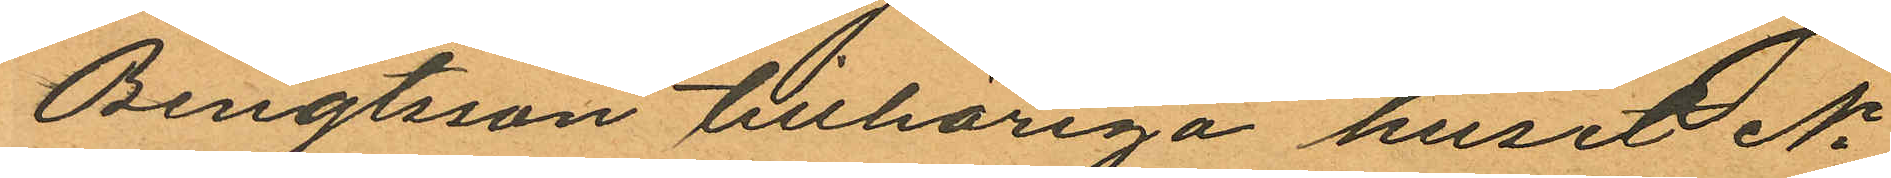Bengtsson tillhöriga huset No
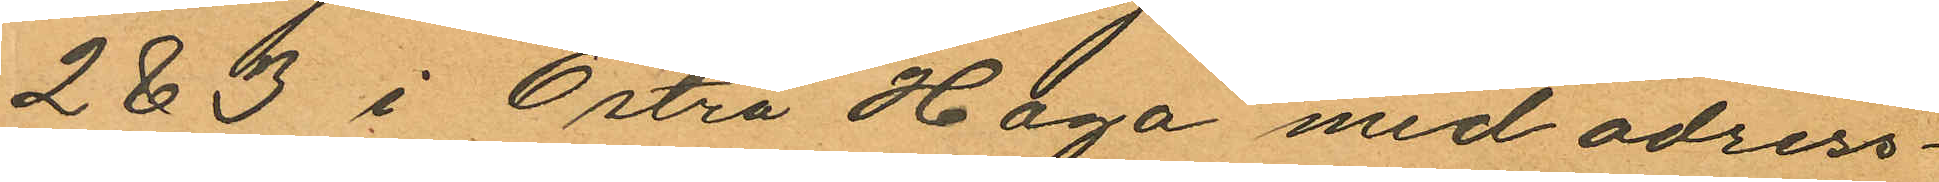2 & 3 i Östra Haga med adress¬
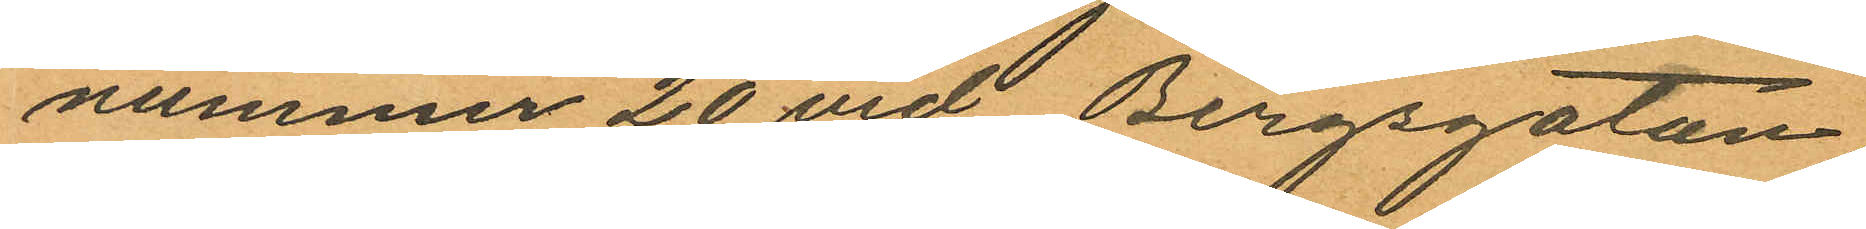nummer 20 vid Bergsgatan,
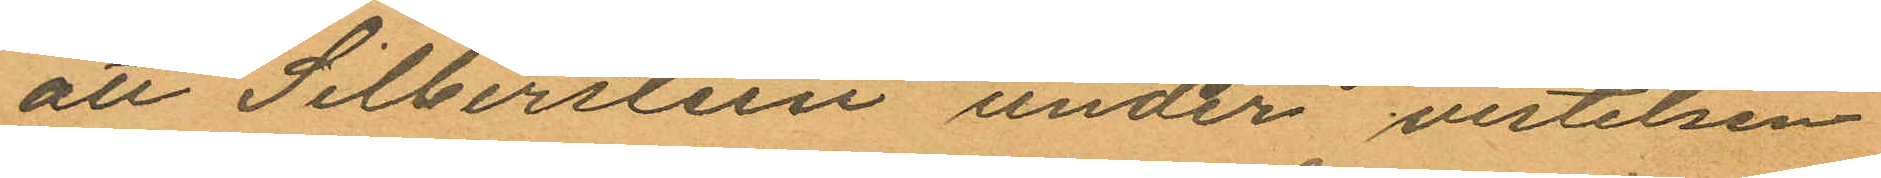att Silberstein under vistelsen
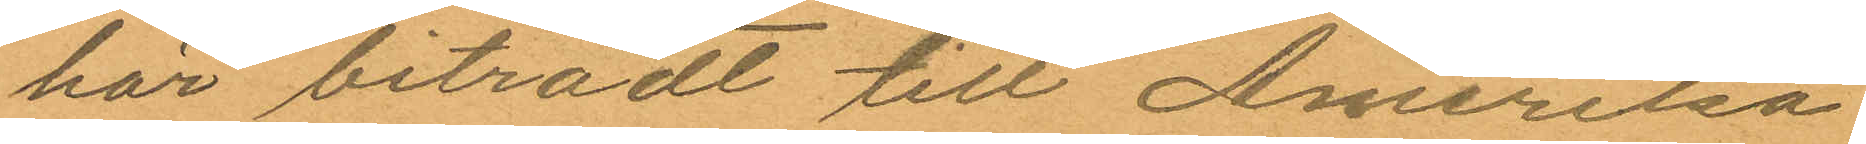här biträdt till Amerika
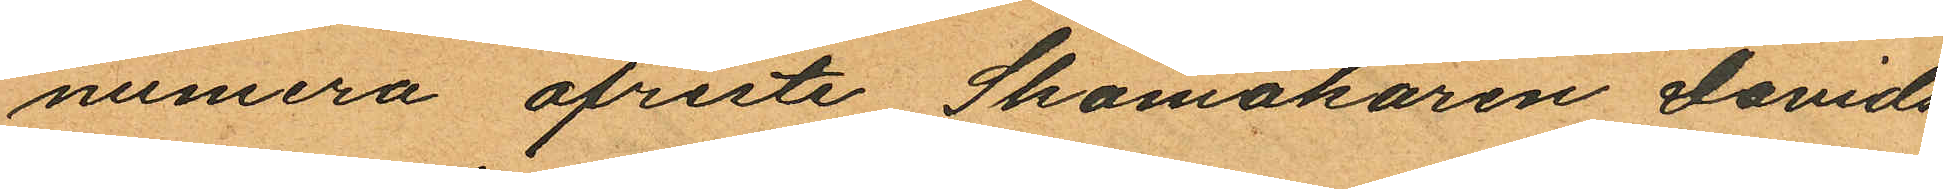numera afreste Skomakaren Davids
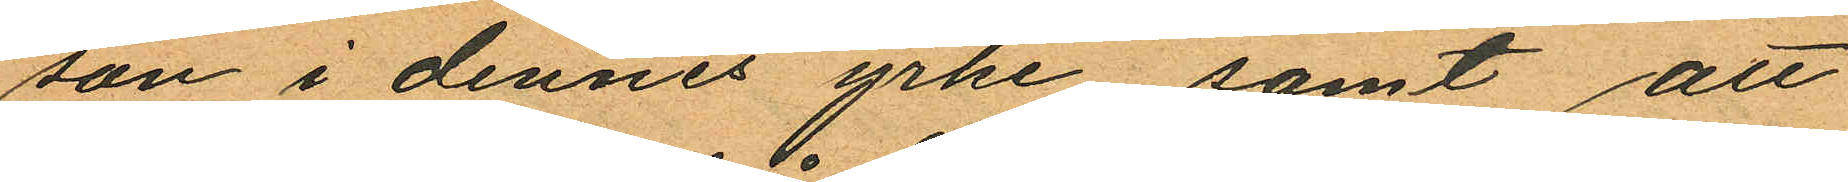son i dennes yrke, samt att
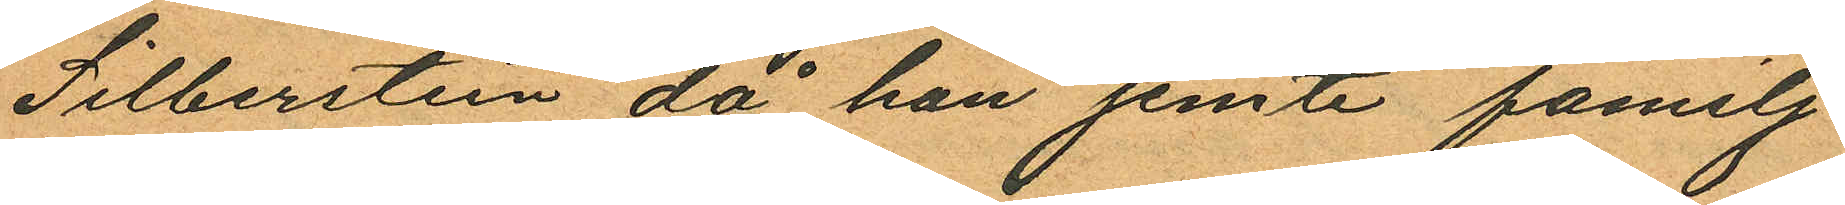Silberstein då han jemte familj
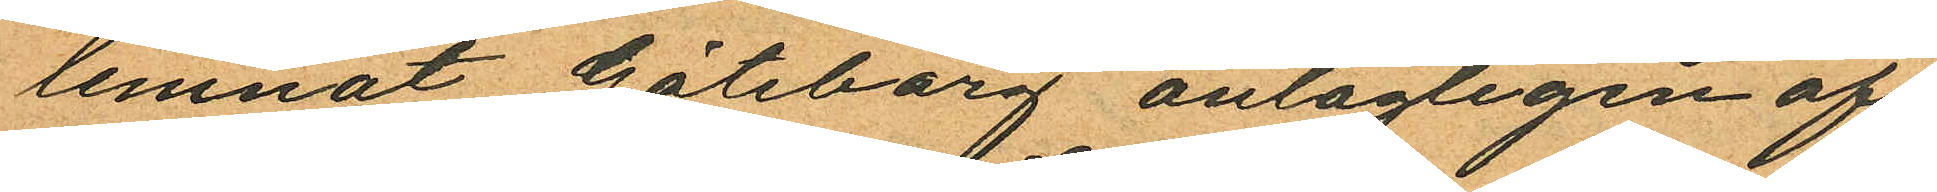lemnat Göteborg antagligen af¬
